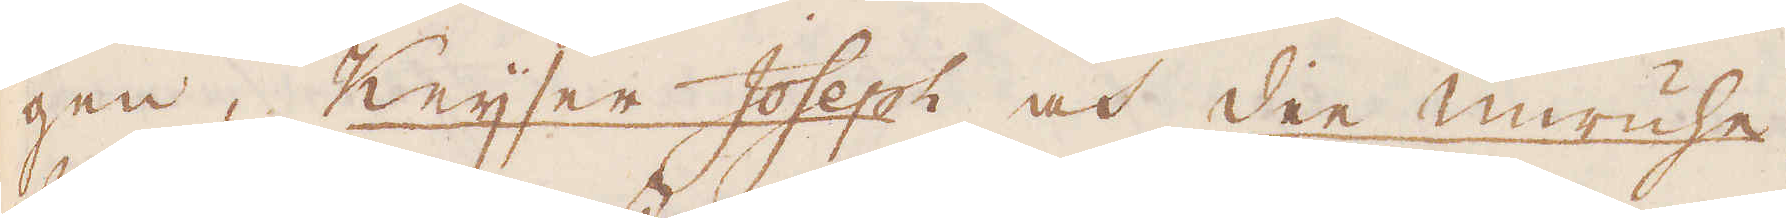gen, Keijser Joseph och den unruhe
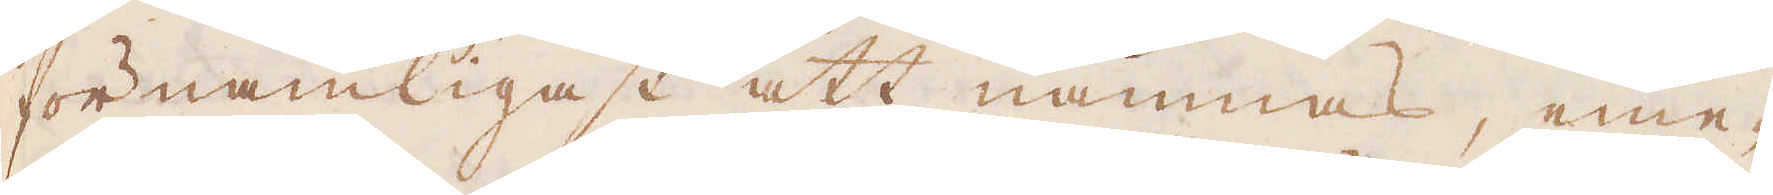förnämligast att nämnas, eme-
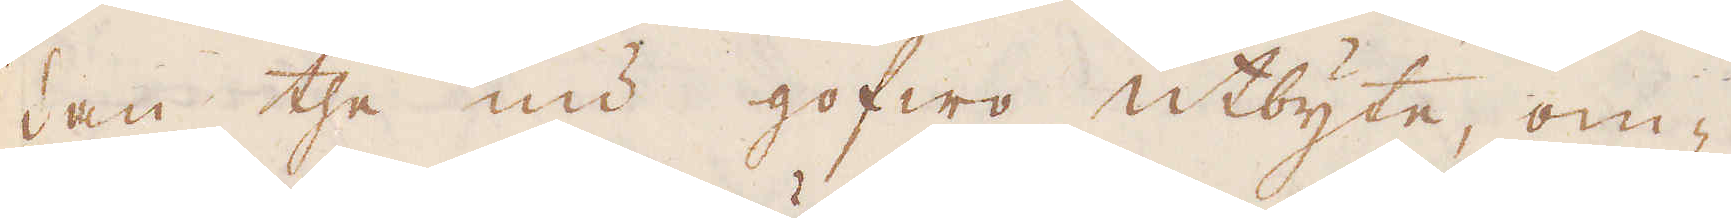dan the nu gofwo utbyte, om-
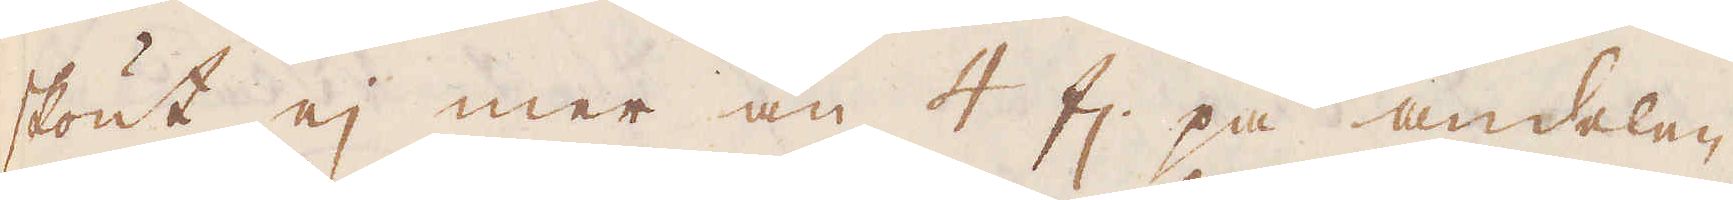skönt ej mer än 4 fl. på andelen
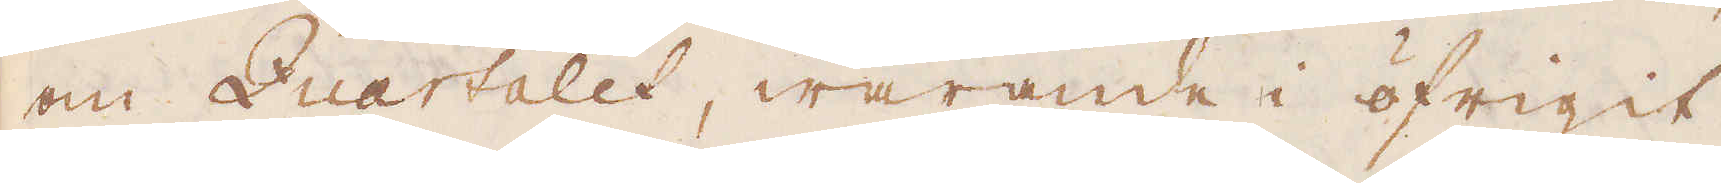om Quartalet, warande i öfrigit
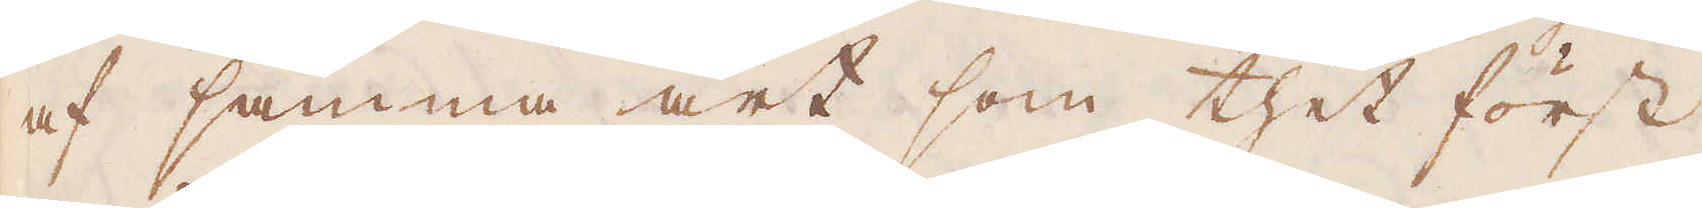af samma art som thet först
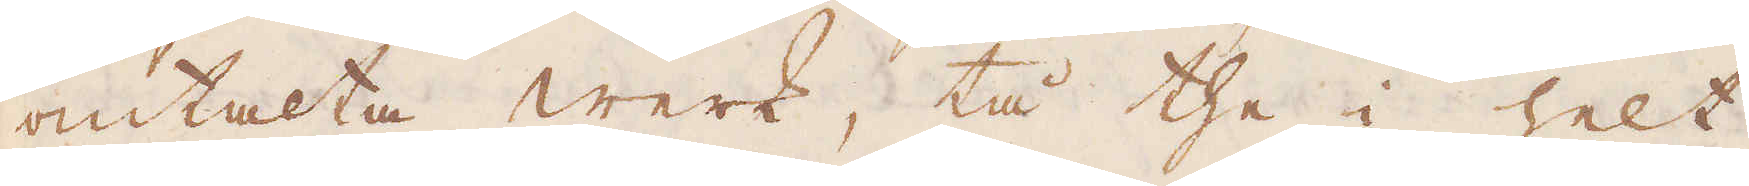omtalta werk, tå the i helt
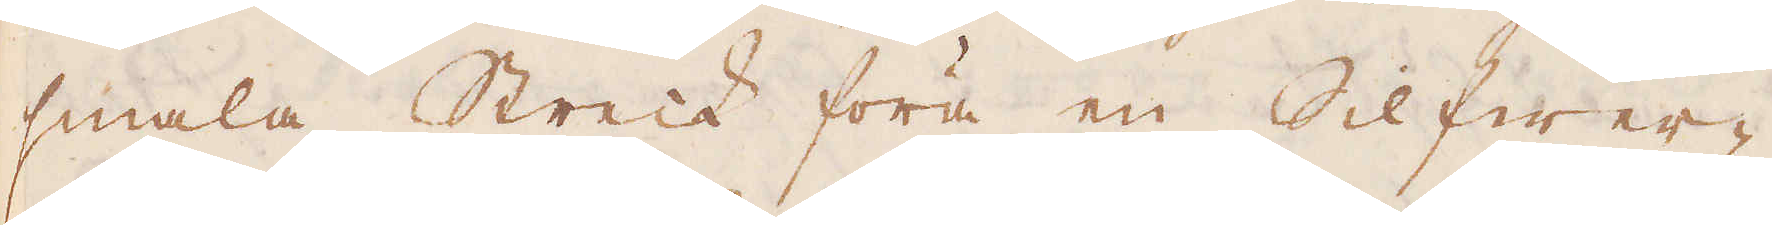smala Streck föra en Silfwer-
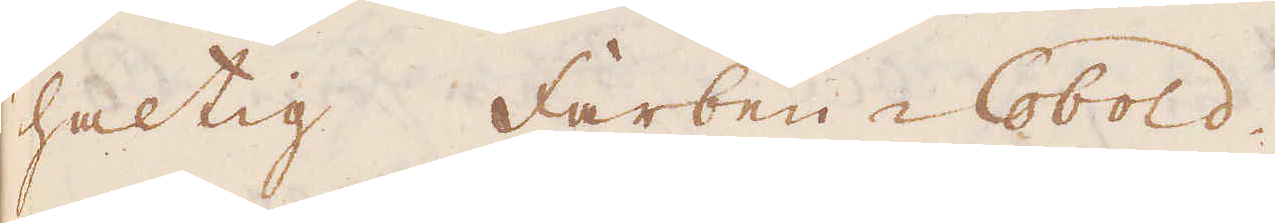haltig Farben-Cobold.
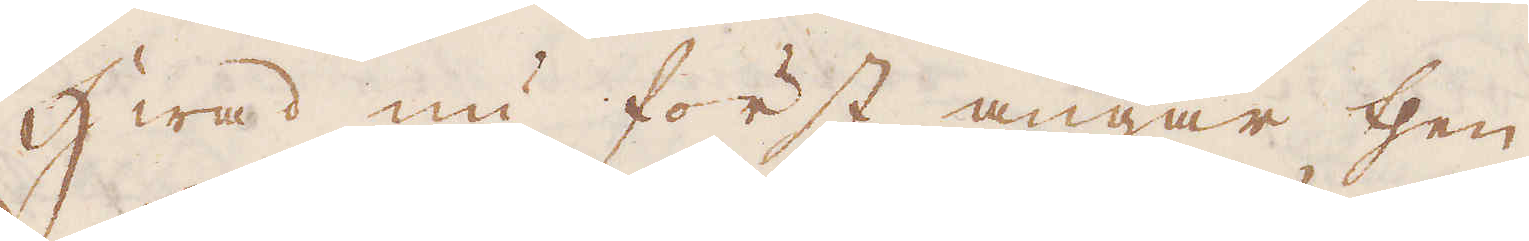Hwad nu först angår then
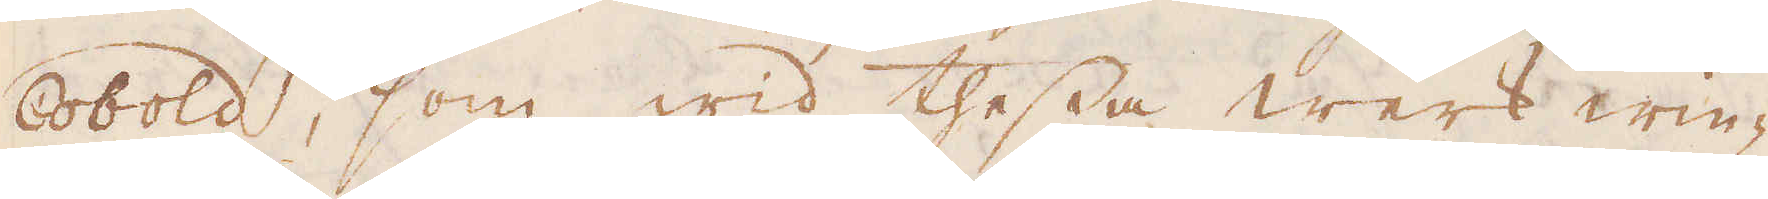Cobold, som wid thessa werk win-
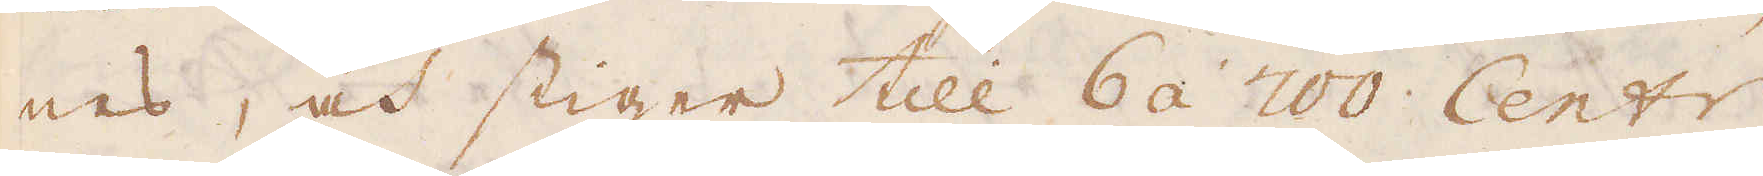nes, och stiger till 6 á 700 Cent:r
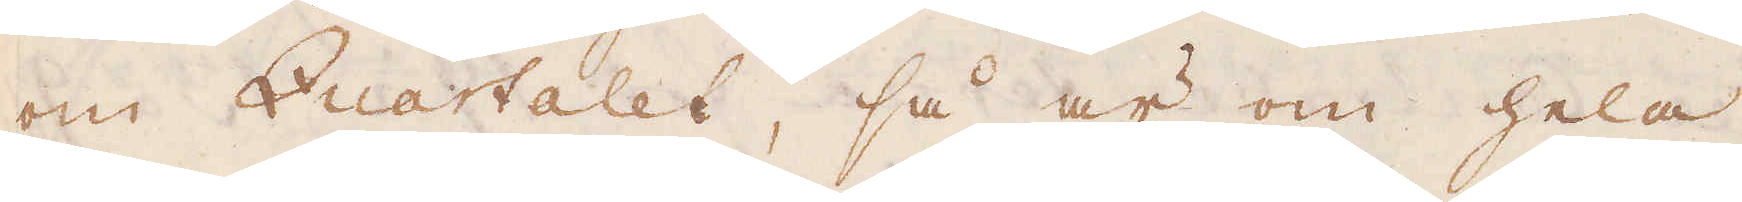om Quartalet, så är om hela
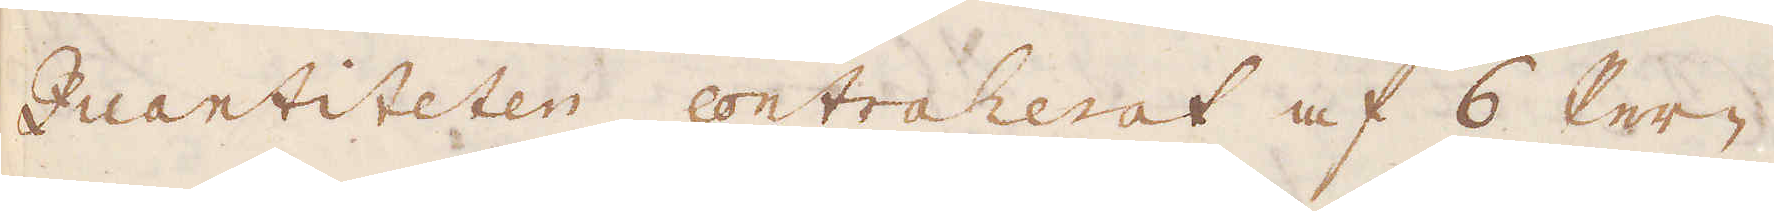Quantiteten contraherat af 6 Per-
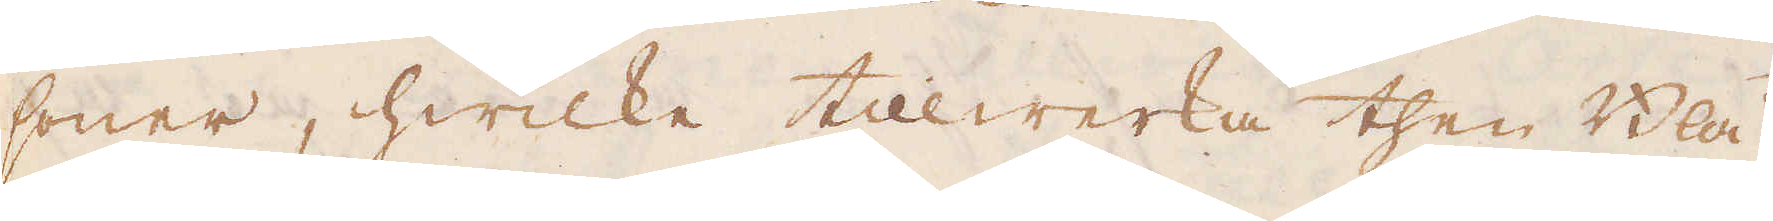soner, hwilke tillwerka then Blå
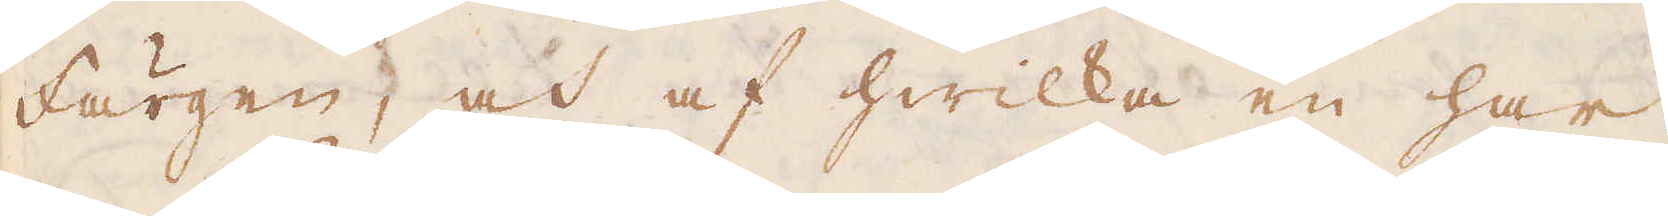Färgen, och af hwilka en har
